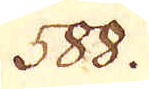588.
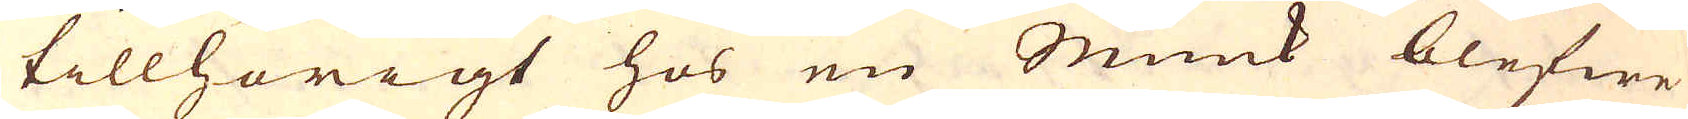tillhörigt hos en Munk blefwe
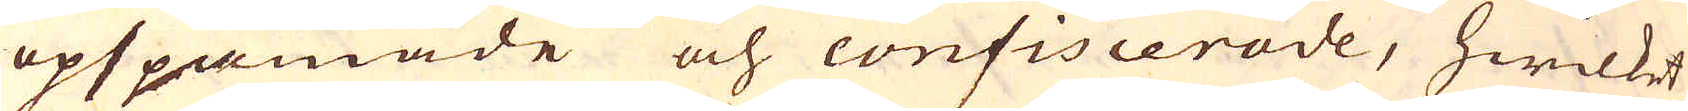opspanade och confiscerade, hwilket
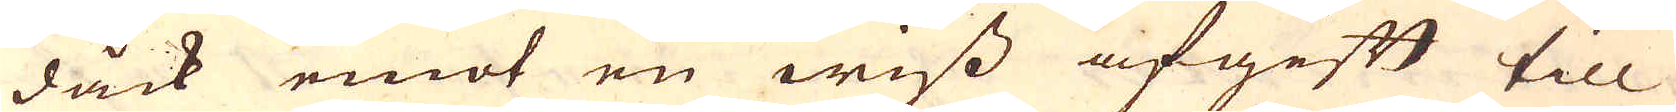dåck emot en wiss afgift till
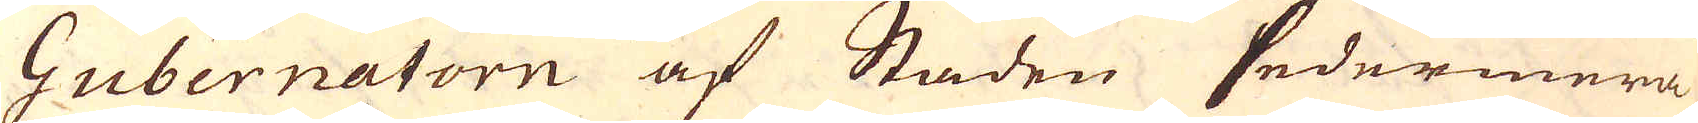Gubernatorn af Staden sedermera
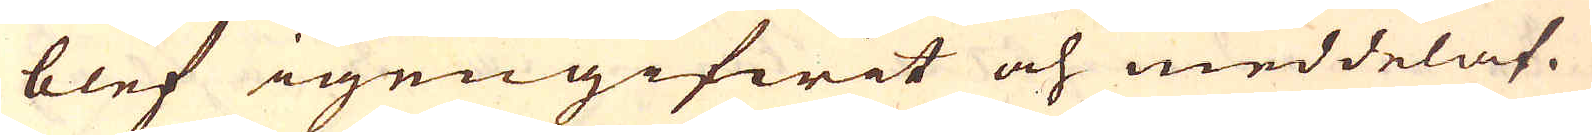blef igengifwit och meddelat.
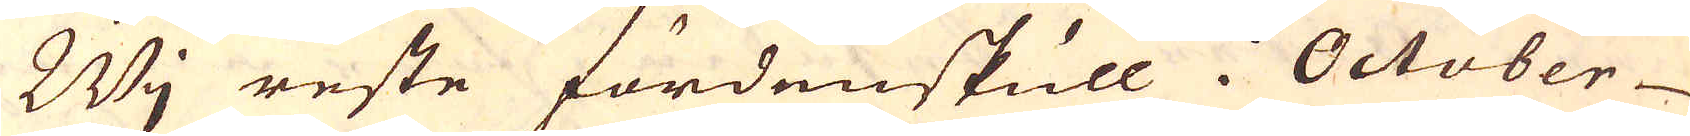Wj reste fördenskull i October
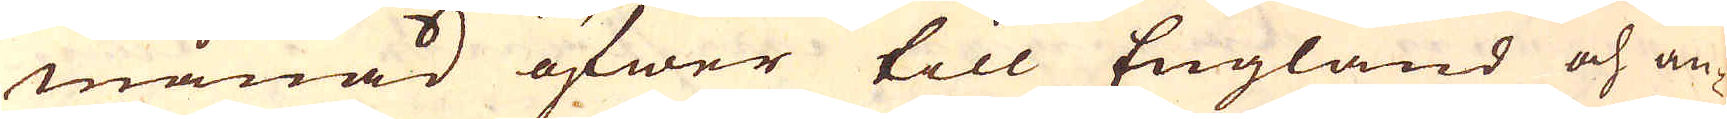månad öfwer till England och an-
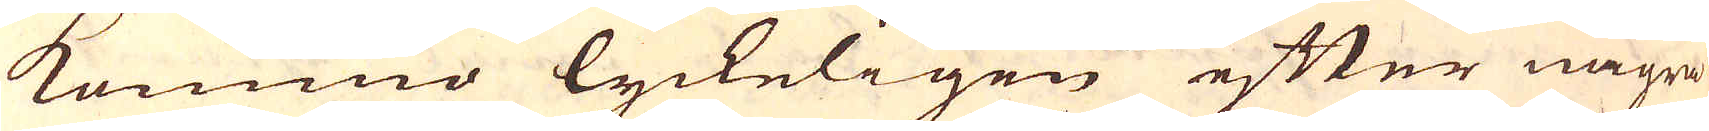kommo lyckeligen efter några
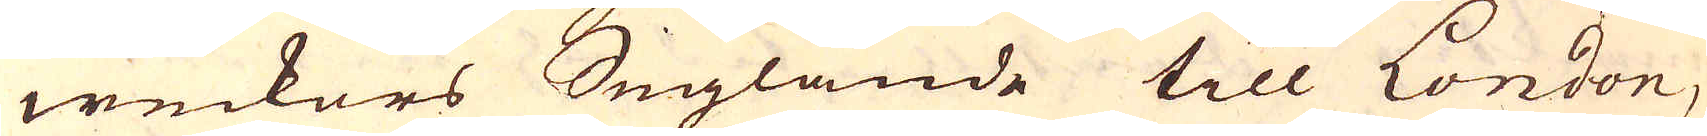weckors Seglande till London,
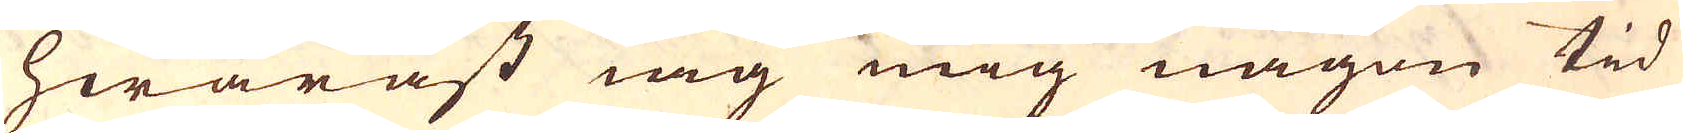hwaräst iag mig någon tid
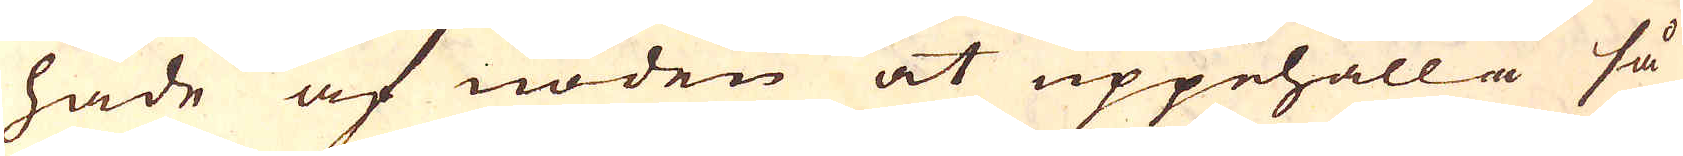hade af nöden at uppehålla så
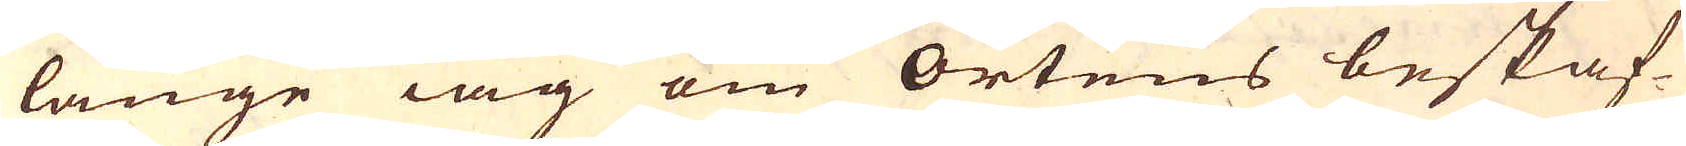länge iag om Ortens beskaf-
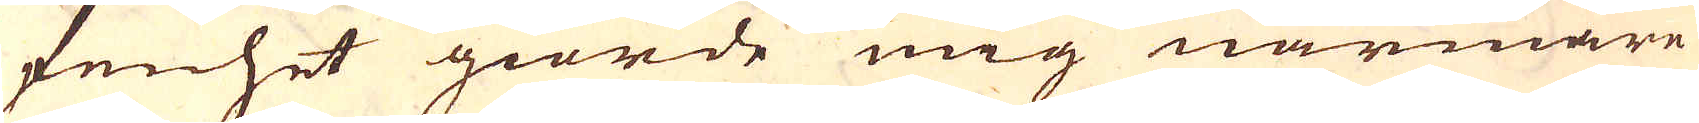fenhet giorde mig närmare
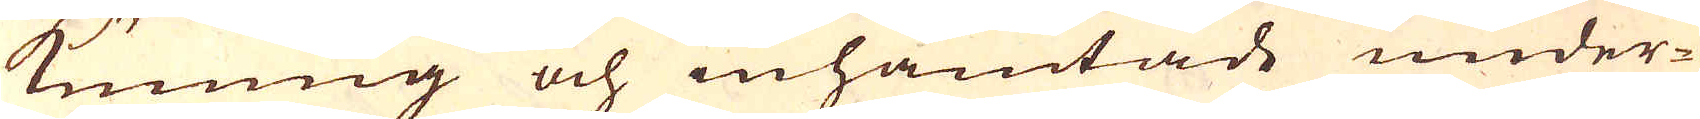kunnig och inhämtade under-
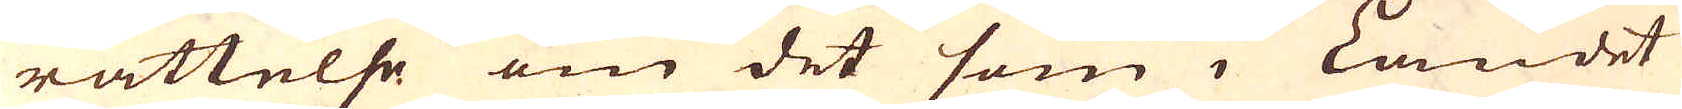rättelse om det som i Landet
